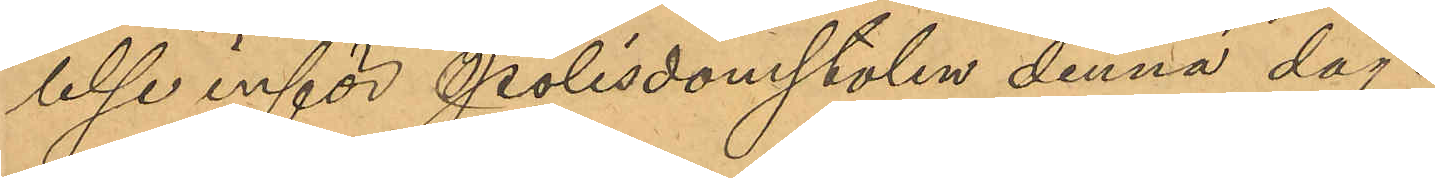lelse inför Polisdomstolen denna dag.
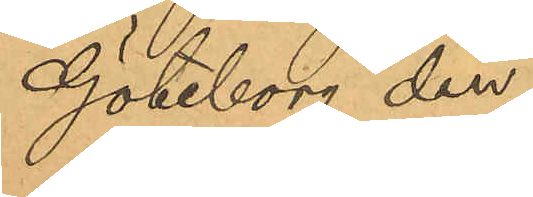Göteborg den
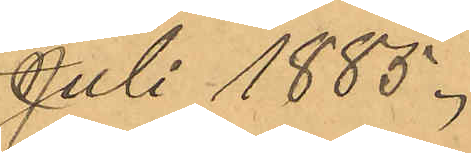Juli 1885.
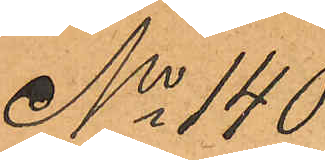No 140
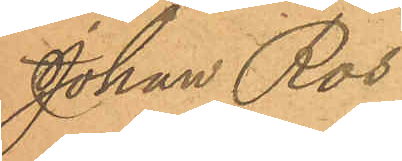Johan Ros
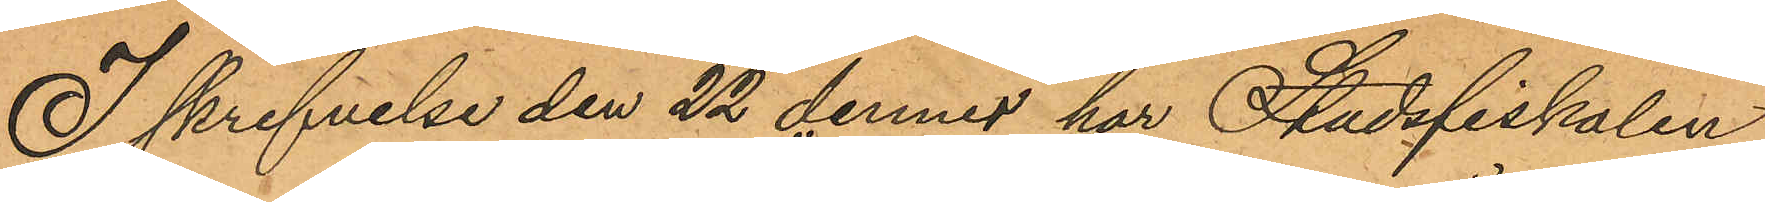I skrifvelse den 22 dennes har Stadsfiskalen
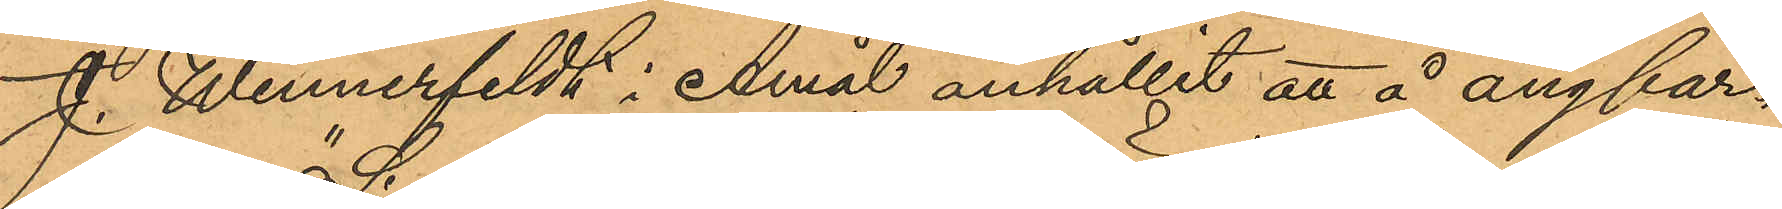J. Wennerfeldt i Åmål anhållit att å ångfar¬
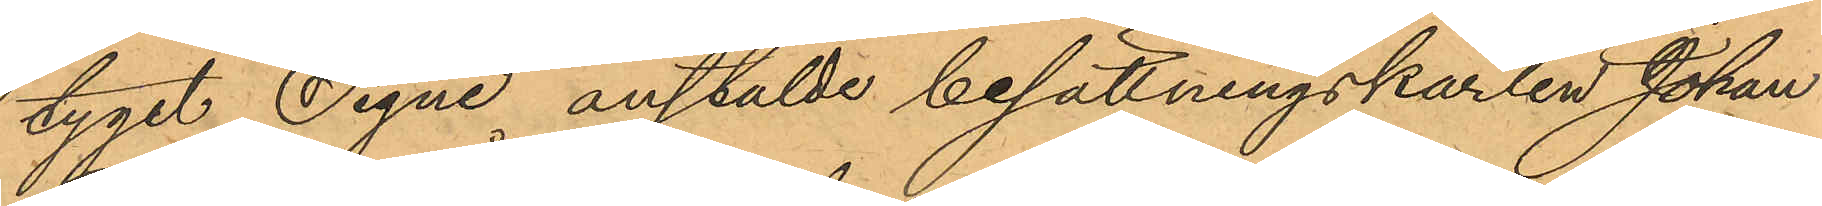tyget "Signe" anstälde besättningskarlen Johan
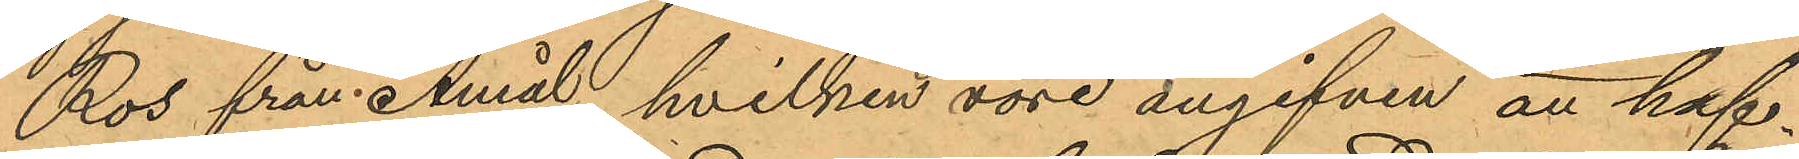Ros från Åmål, hvilken vore angifven att haf¬
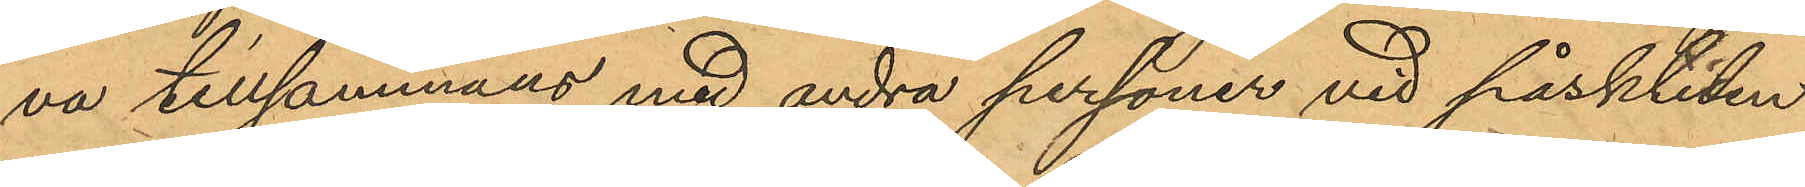va tillsammans med andra personer vid påsktiden
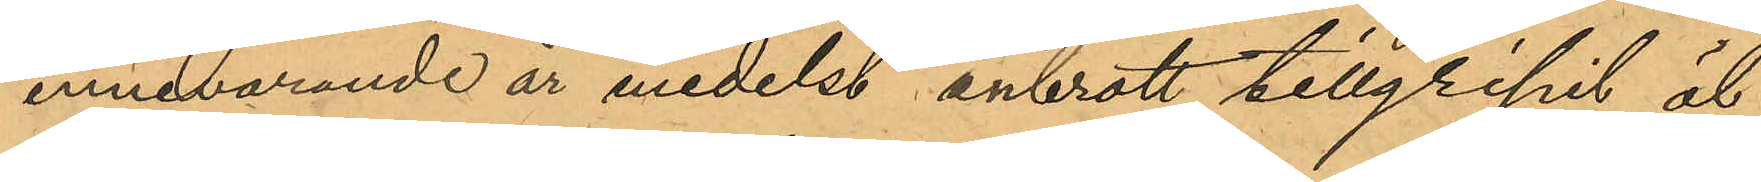innevarande år medelst inbrott tillgripit öl
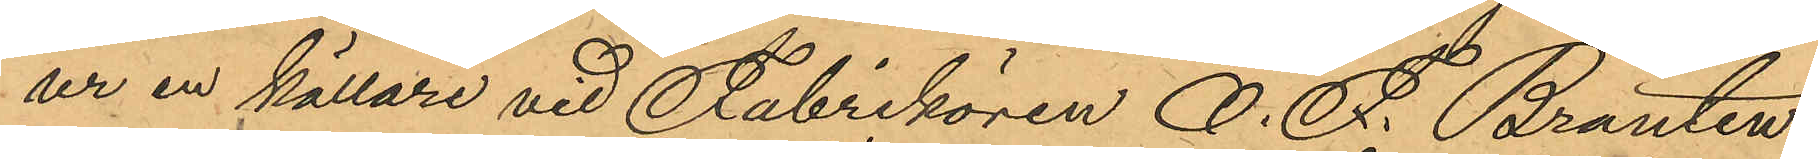ur en källare vid Fabrikören O. F. Branten-
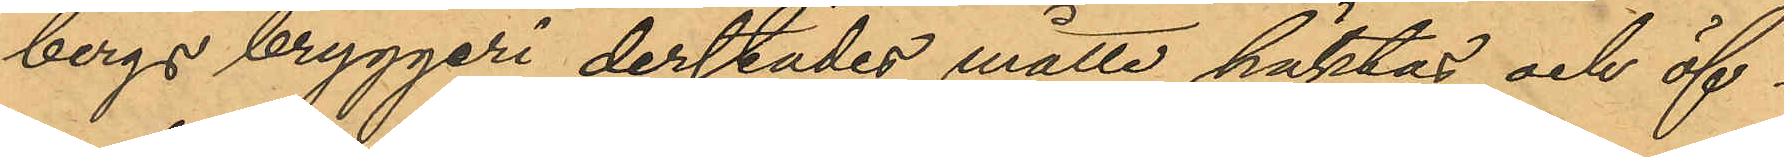bergs bryggeri derstädes måtte häktas och öf¬
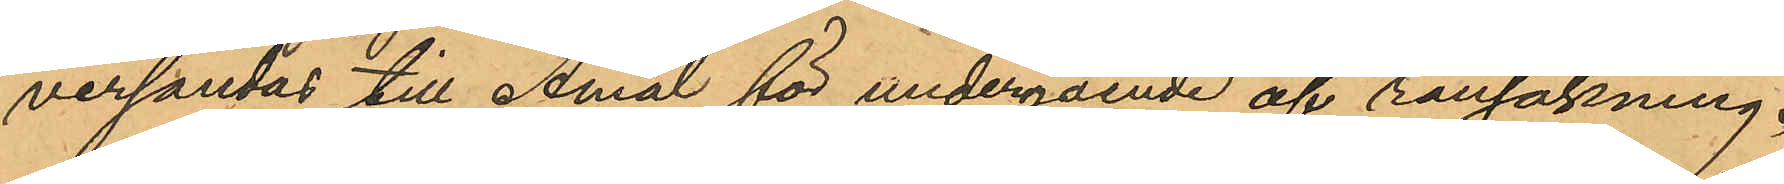versändas till Åmål för undergående af rannsakning.
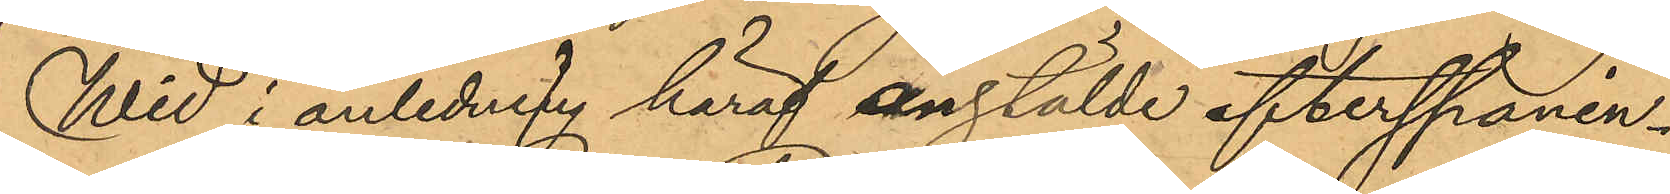Wid i anledning häraf anstälde efterspanin¬
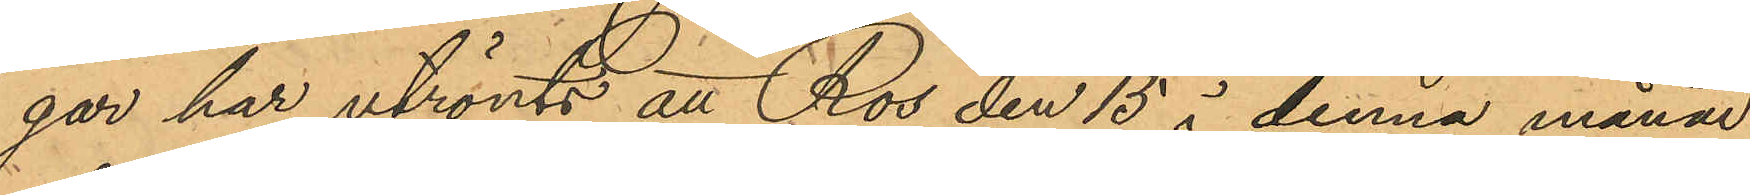gar har utrönts att Ros den 15 i denna månad
